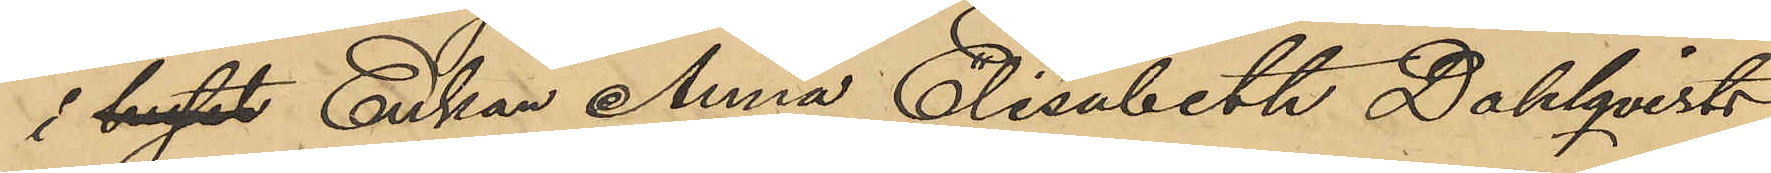i huset Enkan Anna Elisabeth Dahlqvists
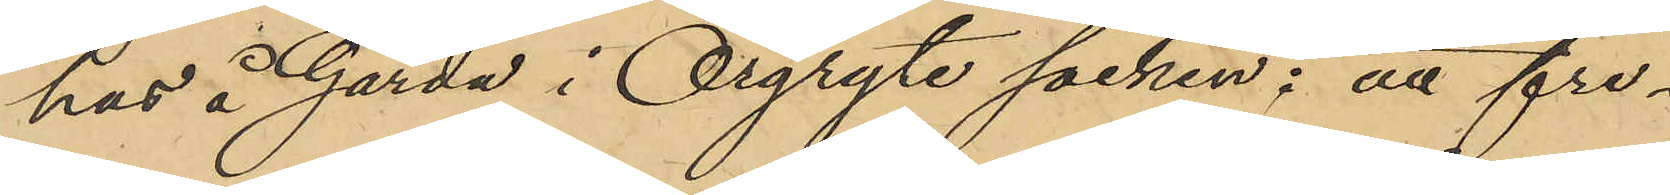hus å Gårda i Örgryte socken; att fre¬
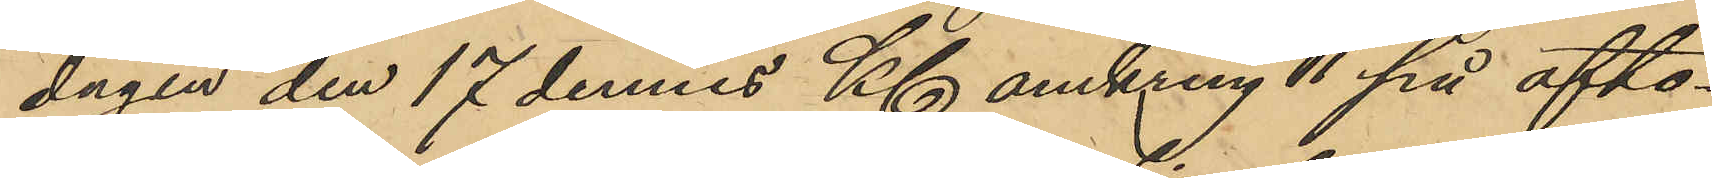dagen den 17 dennes Kl omkring 11 på afto¬
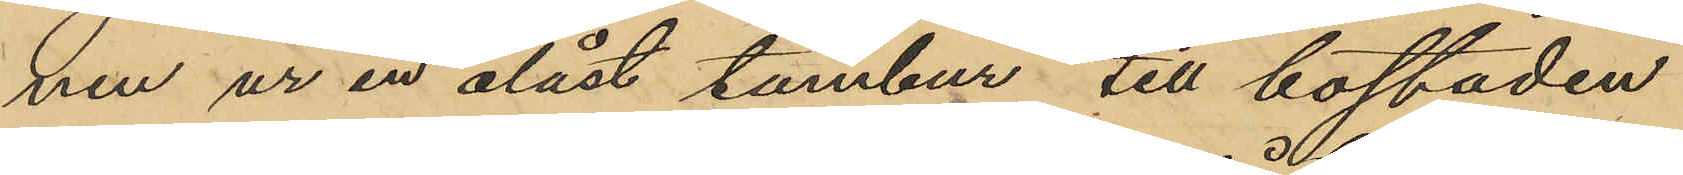nen ur en olåst tambur till bostaden
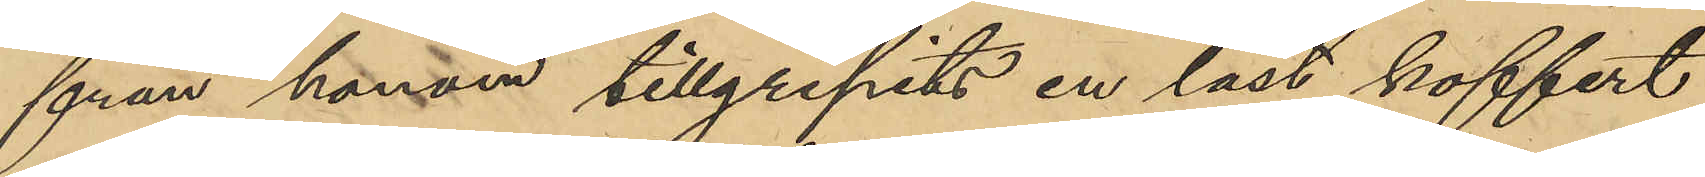från honom tillgripits en låst koffert
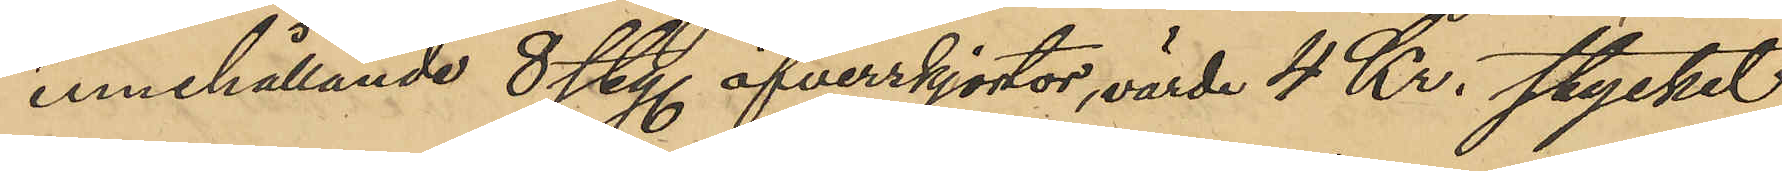innehållande 8 sty öfverskjortor, värde 4 Kr. stycket
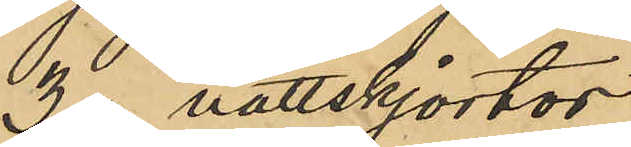3 " nattskjortor 
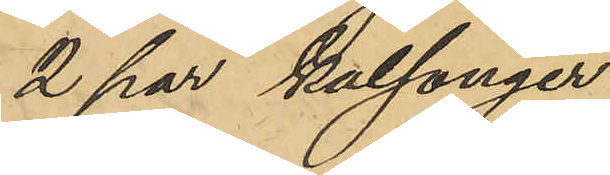2 par kalsonger
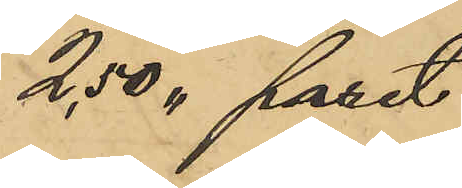2,50 " paret
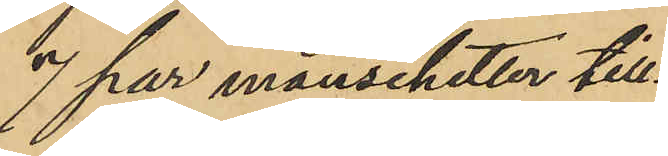7 par manschetter till¬
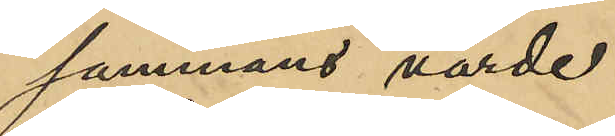sammans värde
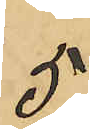5
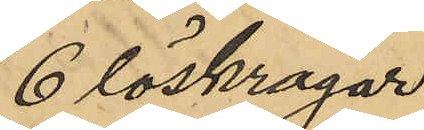6 löskragar
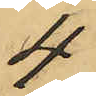4
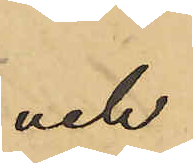och
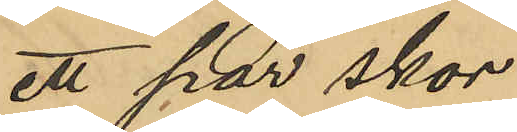ett par skor
